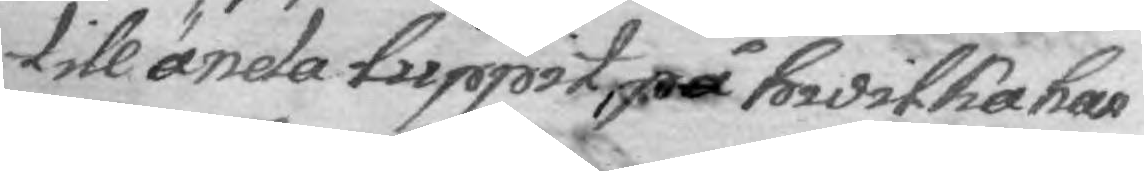till ända luppit, på hwilken han
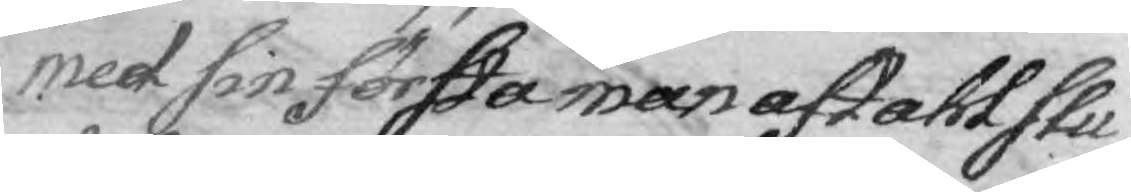med sin första man aftahl slu¬
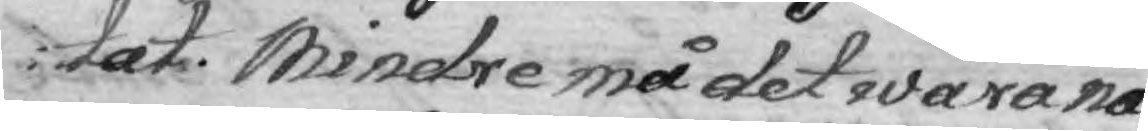tat. Mindre må det wara nå¬
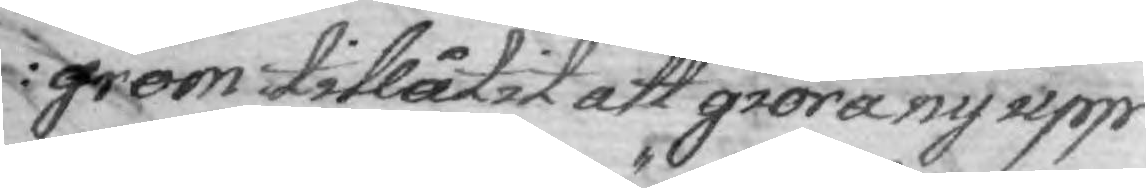grom tillåtit att gröra ny upp¬
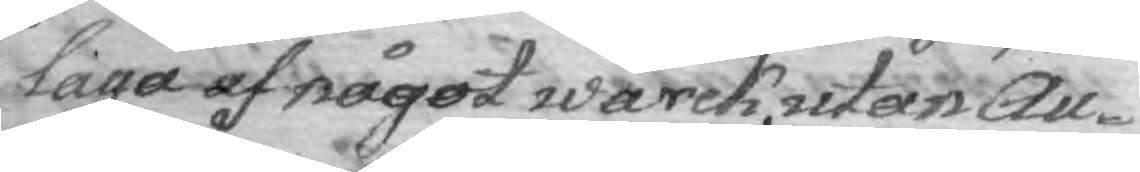laga af något wärck, utan Au¬
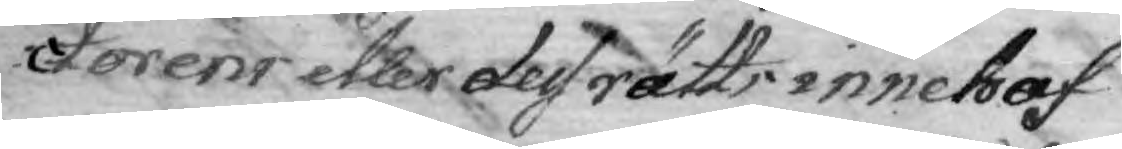ctorens eller dess rätts innehaf¬
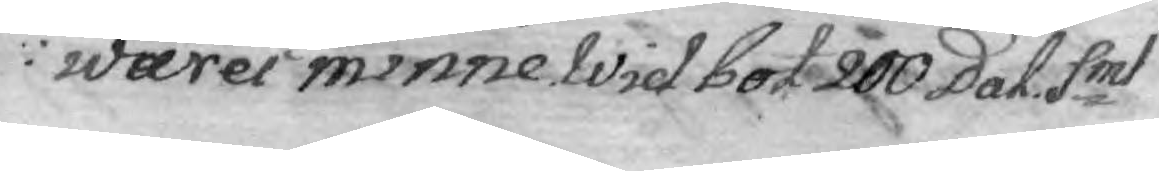wares minne Wid bot 200 Dal. Smt
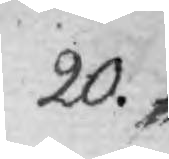20.
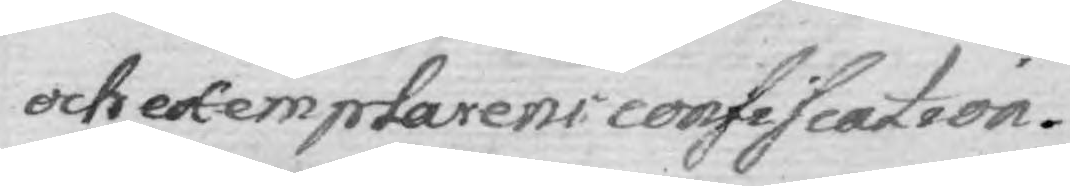och exemplarens confiscation.
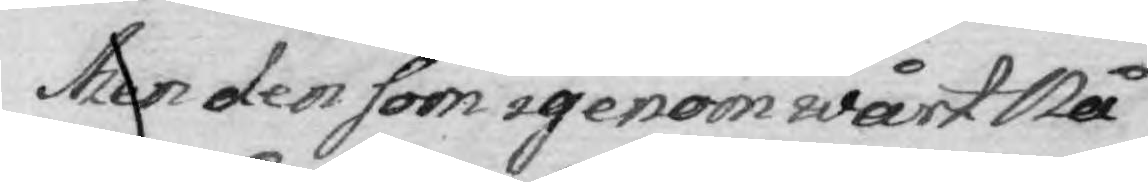Men den som igenoon wårt Nå¬
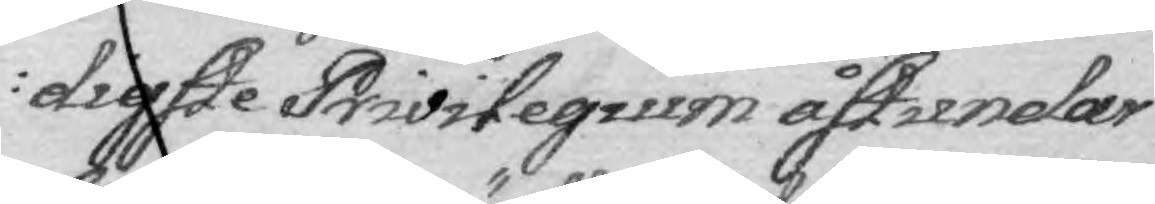digste Privilegium åstundar
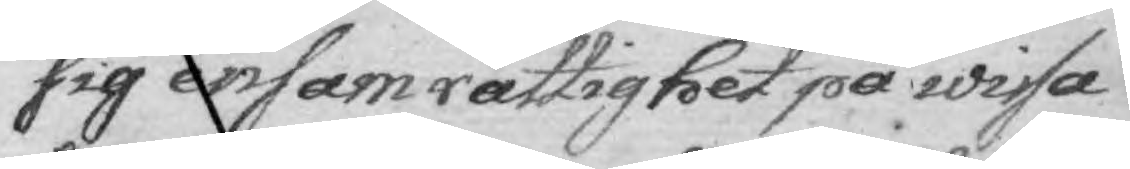sig ensam rättighet på wissa
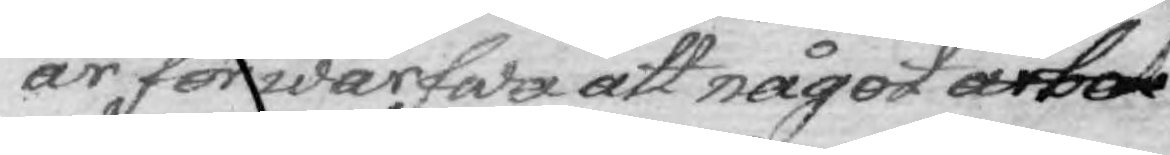år förwärfwa att något arbete
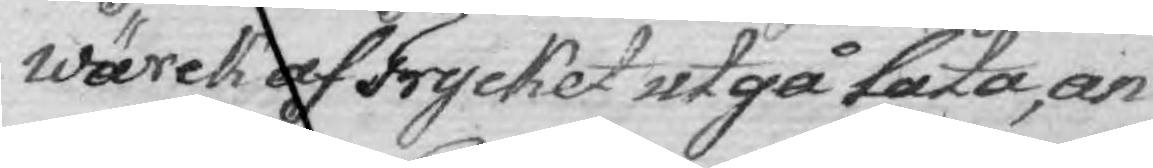wärck af Trycket utgå låta, an¬
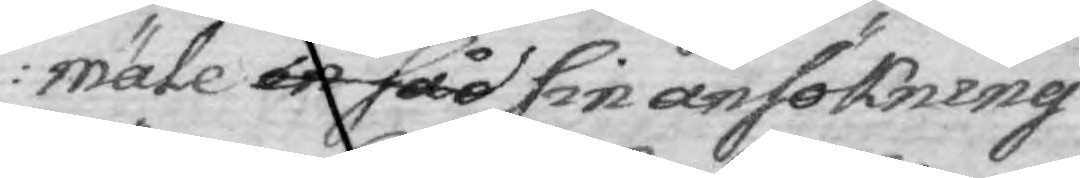mäle in såd sin ansökning
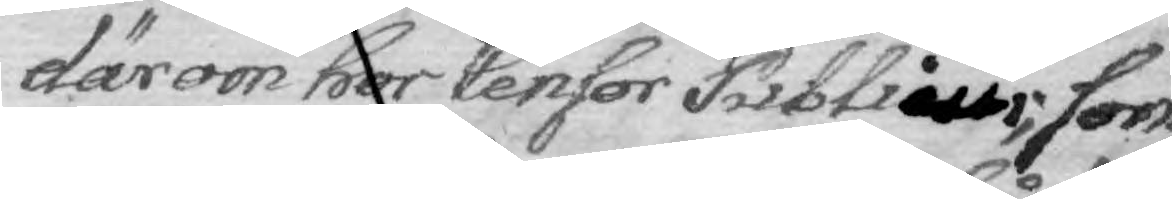därom hos Censor ublicus, som
